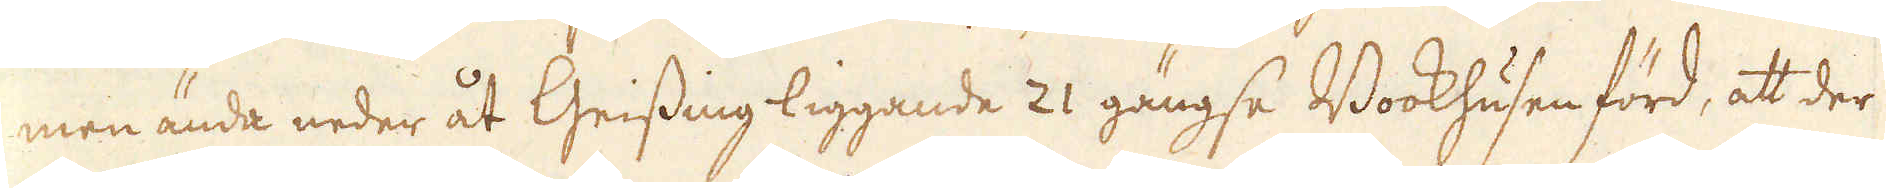men ända neder åt Geissing liggande 21 gängse Bookhusen förd, at der
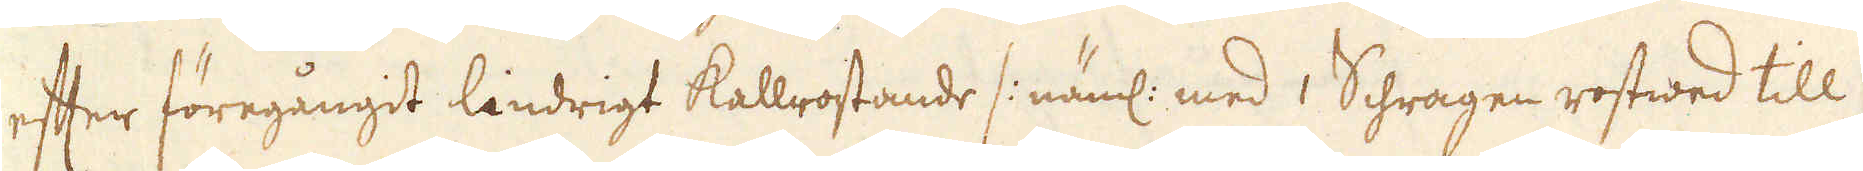efter föregångit lindrigt kallrostande /: näml: med 1 Schragen rostwed till
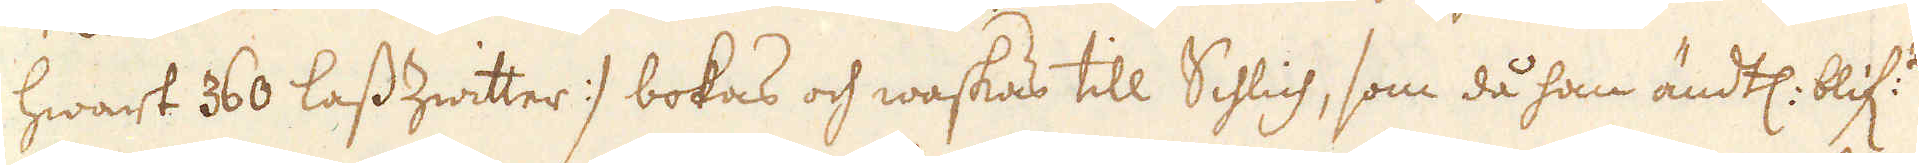hwart 60 lass Zwitter :/ bokas och waskas till Schlich, som då han ändtl: blif:t
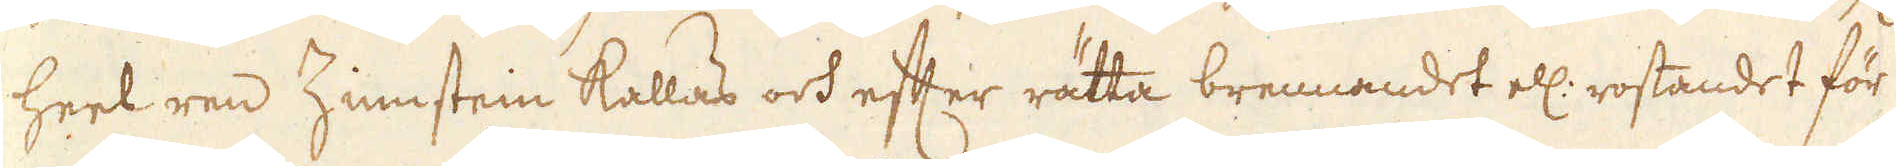heel ren Zinnstein kallas och efter rätta brennandet ell: rostandet för
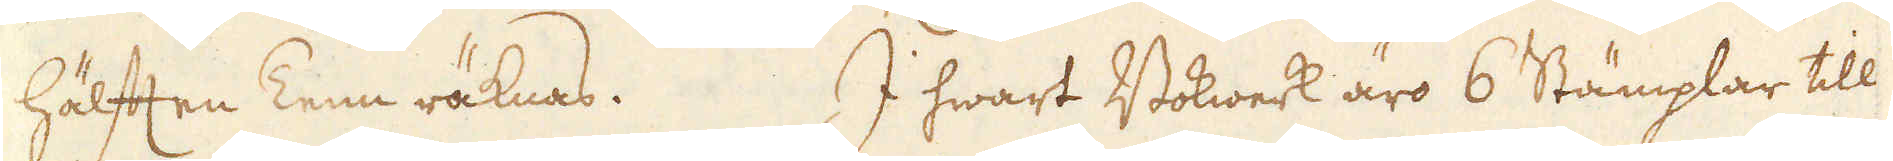hälften Tenn räknas. I hwart Bokwerk äro 6 Stämplar till
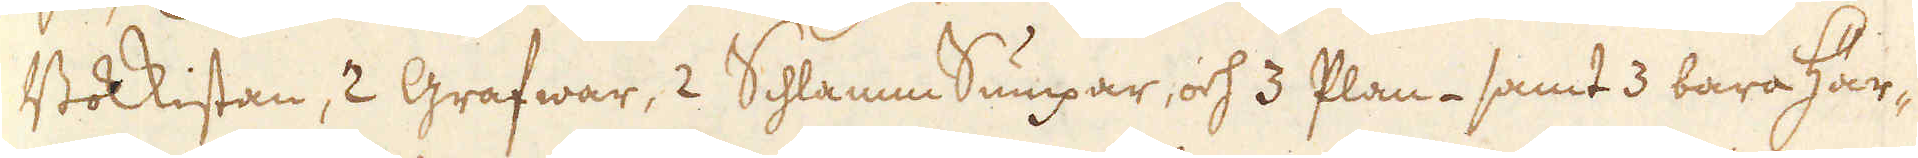Bokkistan, 2 Grafwar, 2 Schlamn Sumpar, och 3 Plan- samt 3 bara Här-
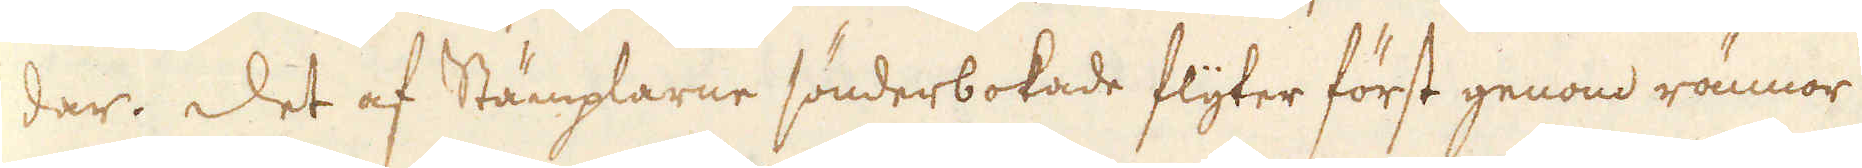dar. Det af Stämplarne sönderbokade flyter först genom rännor
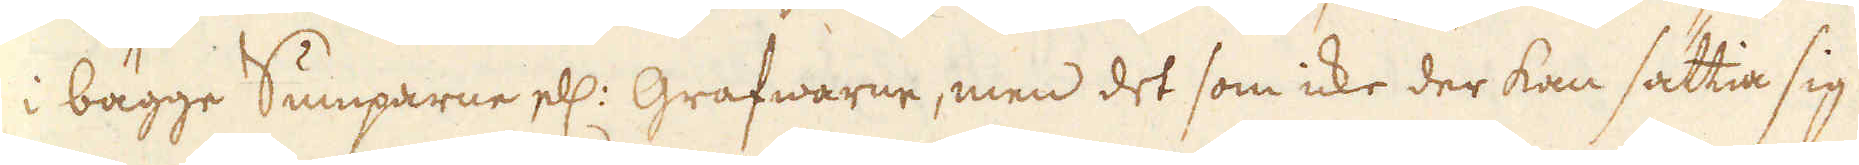i bägge Sumparne ell: Grafwarne, men det som icke der kan sättia sig
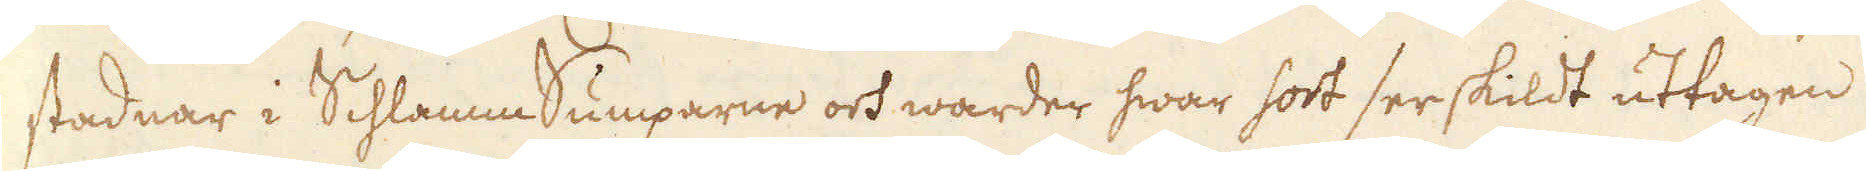stadnar i Schlamm Sumparne och warder hwar sort serskildt uttagen
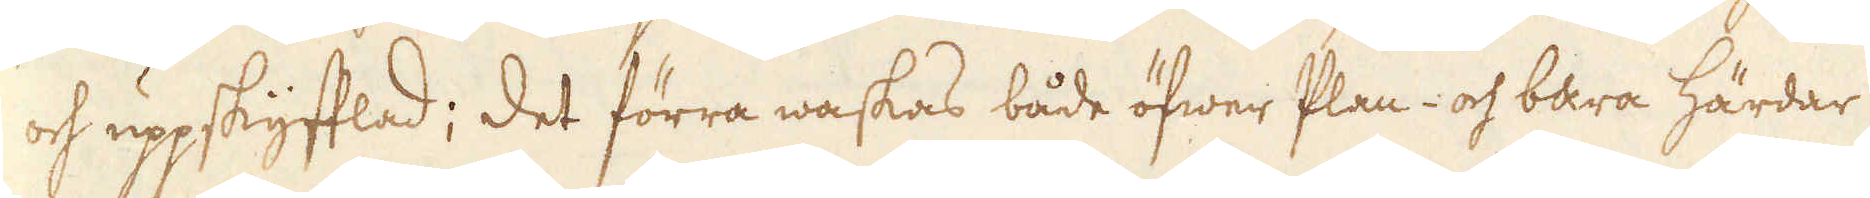och uppskyfflad; det förra waskas både öfwer Plan- och bara härdar
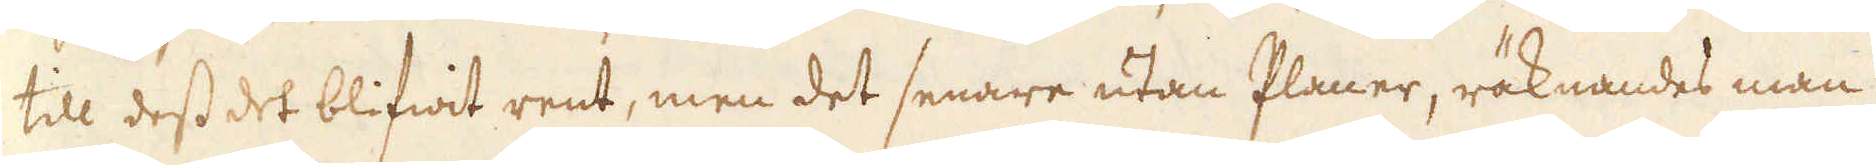till dess det blifwit rent, men det senare utan Planer, räknandes man
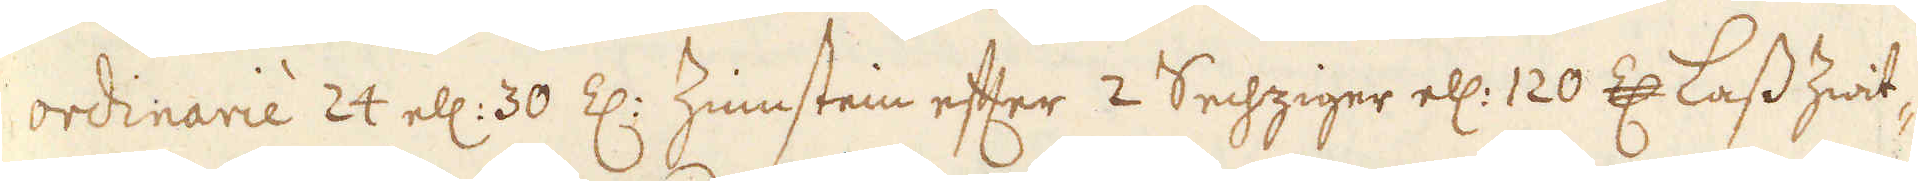ordinarie 24 ell: 30 Z: Zinnstein efter 2 Sechziger ell: 120 Z: Lass hwit-
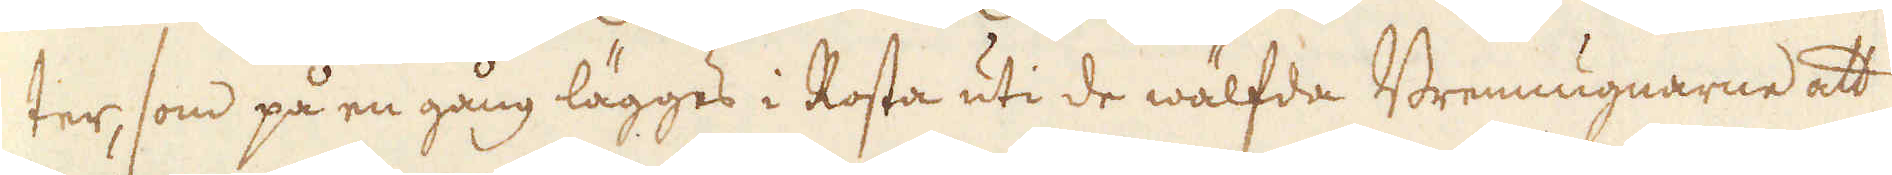ter, som på en gång lägges i Rosta uti de wälfda Brennugnarne att
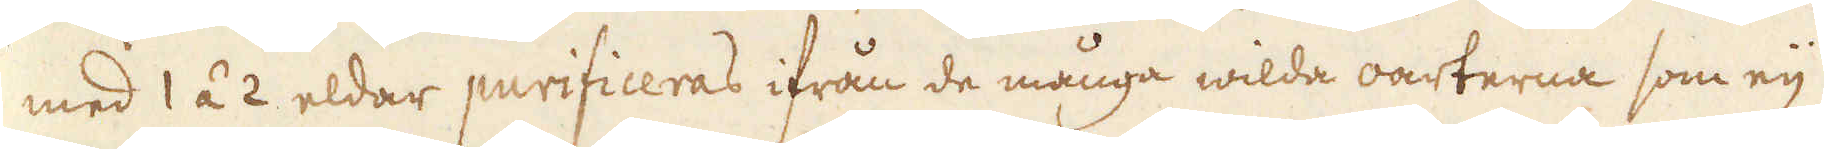med 1 á 2 eldar purificeras ifrån de många wilda oarterna som eij
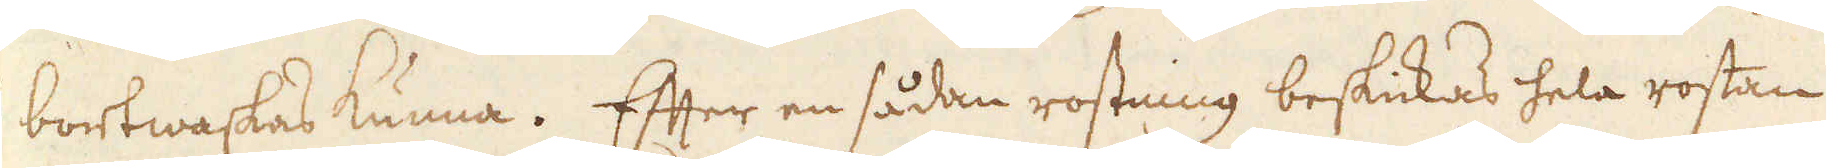bortwaskas kunna. Efter en sådan rostning beskickas hela rostan
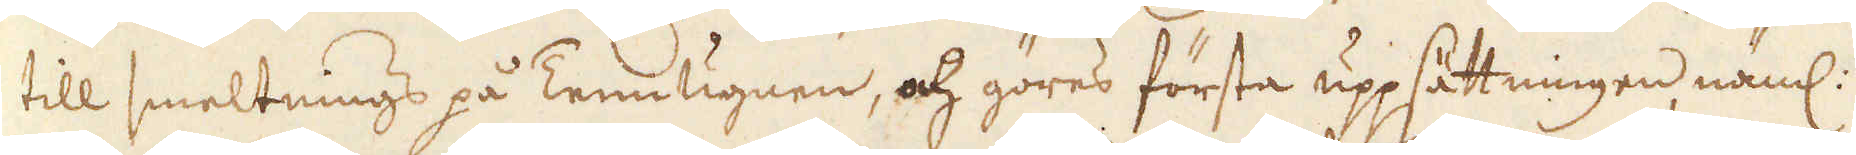till smeltnings på Tennugnen, och göres första uppsättningen, näml:
